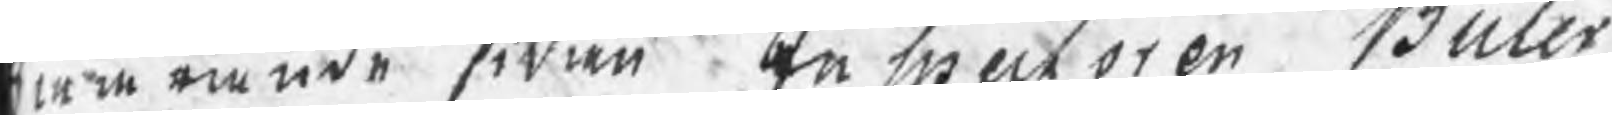om emede sidan en Swecroren Wüler
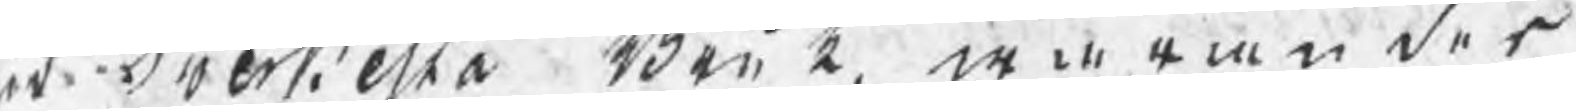odbertiesta Bonk, wi ran des
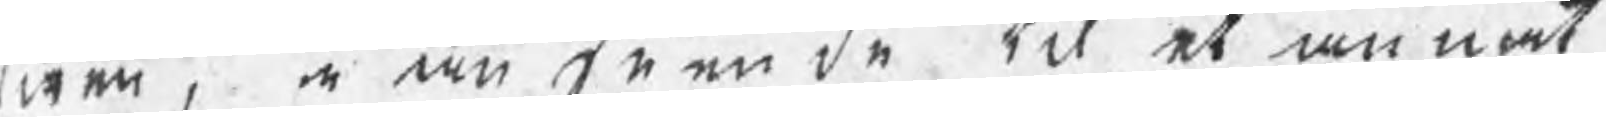nen, i an tn en de tc et anmat
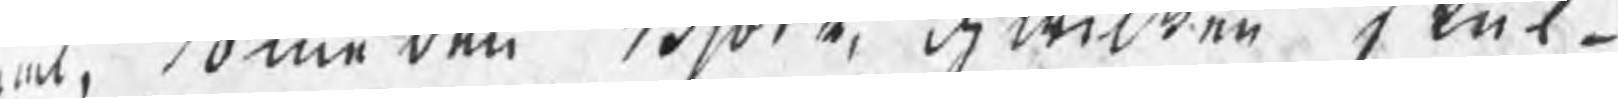at me den Biörk, d wilken Slut¬
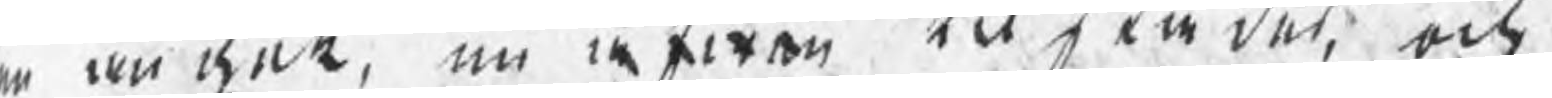er on dnt, nu åfwen til sta det, och
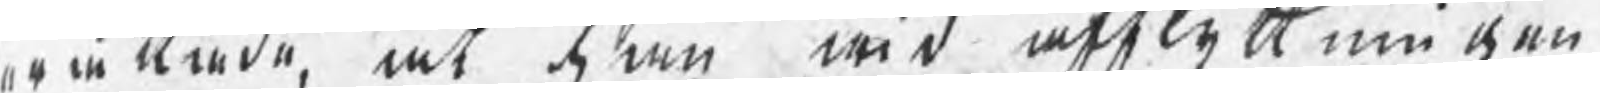ex in Anda, at onu wid attlett ne gen
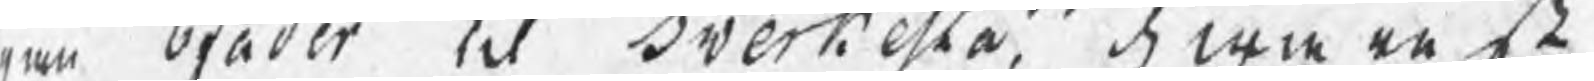ren Stader til Dverkella d win arså
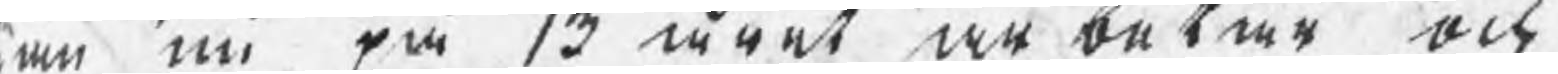on nu på 13 urät nn betar ock
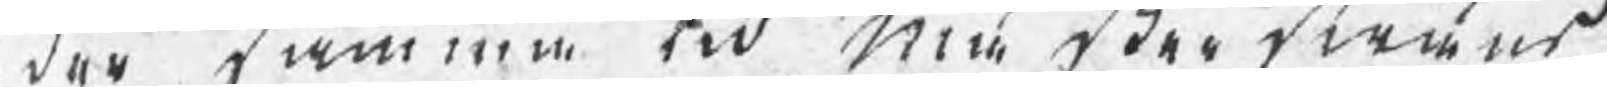der kammen tid mem tder twins
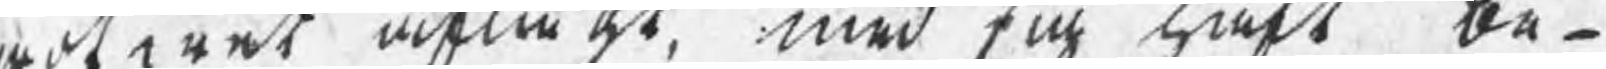ootarat aflå at med oi säkt be¬
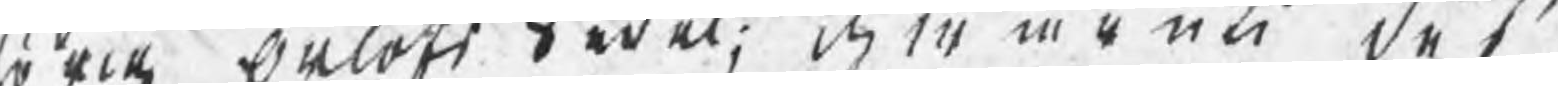rock Salott Hwäl: der iiuti dof¬
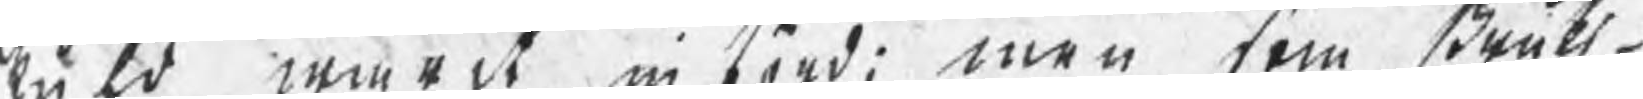tulo wurdt in bord men tom Brukt¬
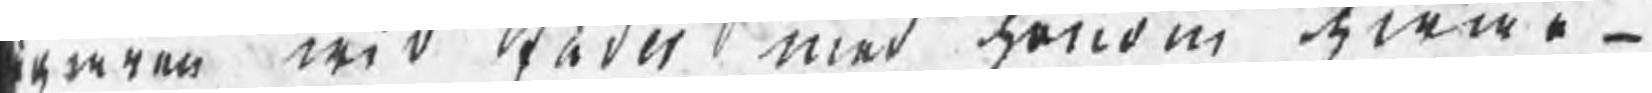dangen wid Rnder med honom hwar¬
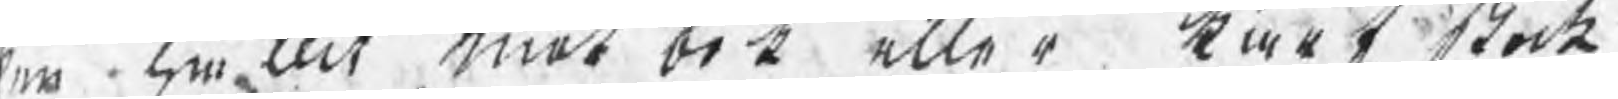en Emeeit Emot ort eller krok Stock
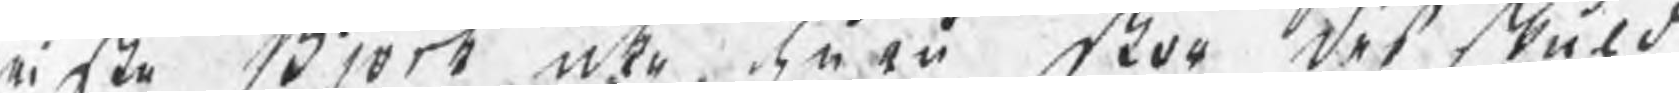iifke Brort ute sn ei For det Stuld
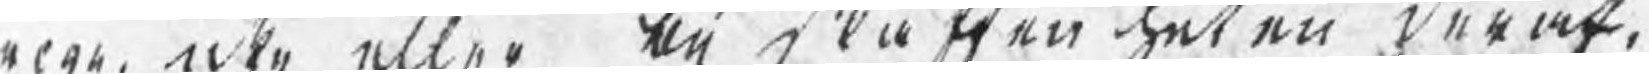nar, icke eller bå rätten het en darak,
